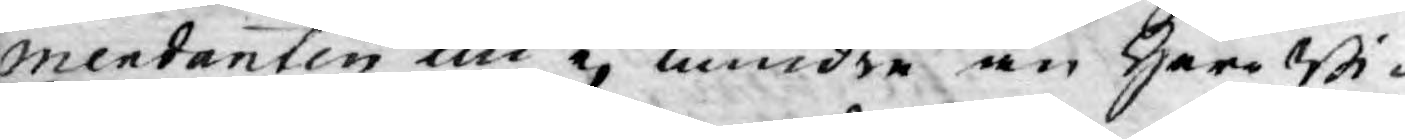mendanten nu ej mindre än Herr Bi¬
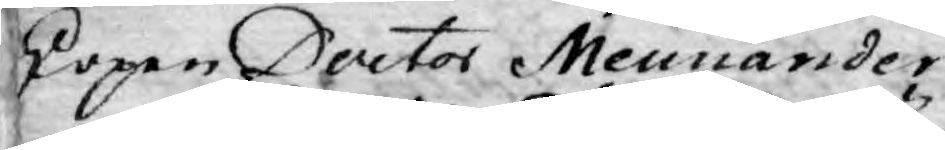skopen Doctor Mennander.
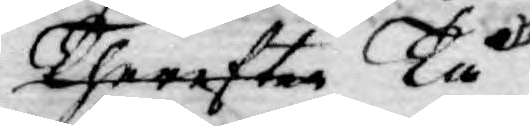Therefter Tå
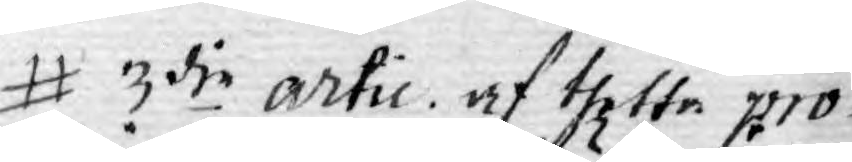3die artic. af thetta pro¬
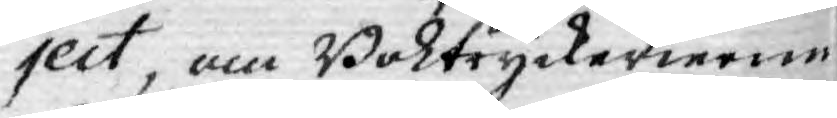ject, om Boktryckerierne
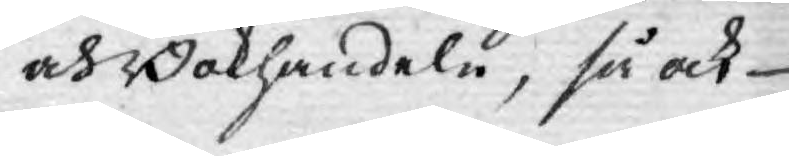och Bokhandeln, så ock
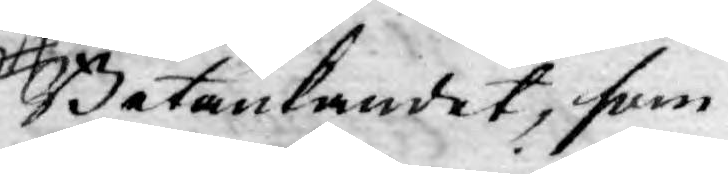Betänkandet, som
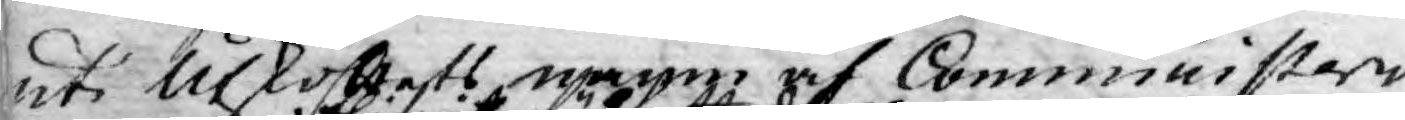uti Utkottets namn af Comministeri
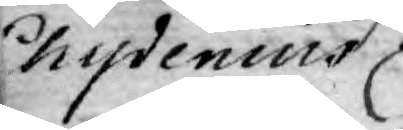Chydenius
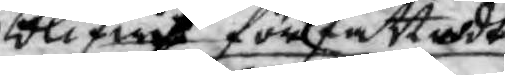blifwit författadt
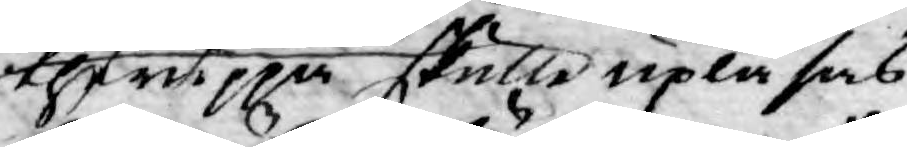theruppå skulle upläsas,
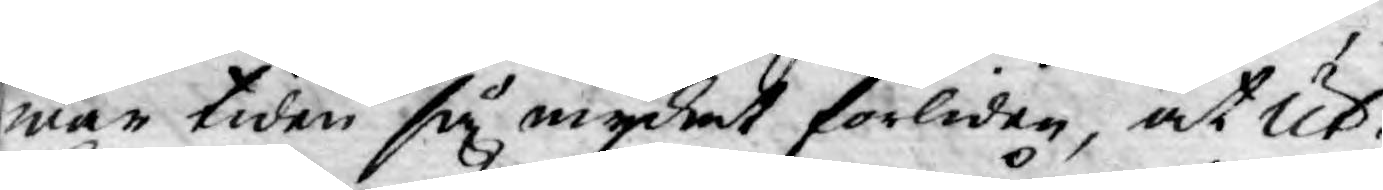war tiden så mycket förliden, at Ut¬
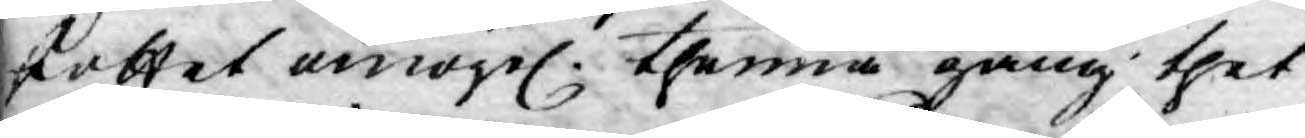skottet omögel. thenna gång thet
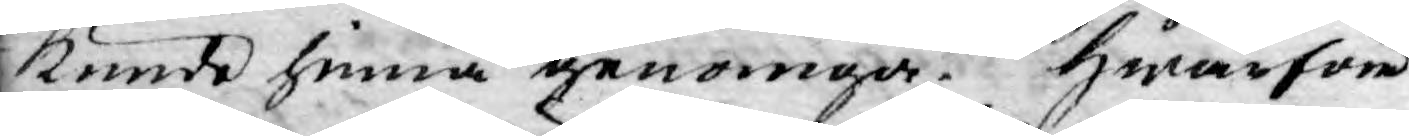kunde hinna genomgå. Hwarföre
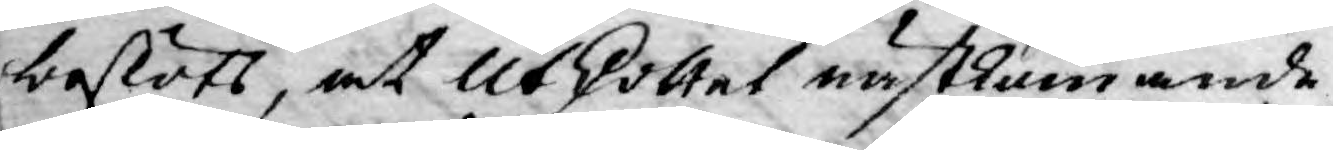beslöts, at Utskottet nästkommande
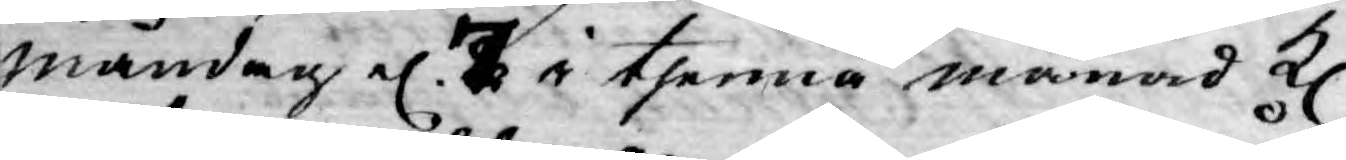måndag el. 7 i thenna månad kl.
